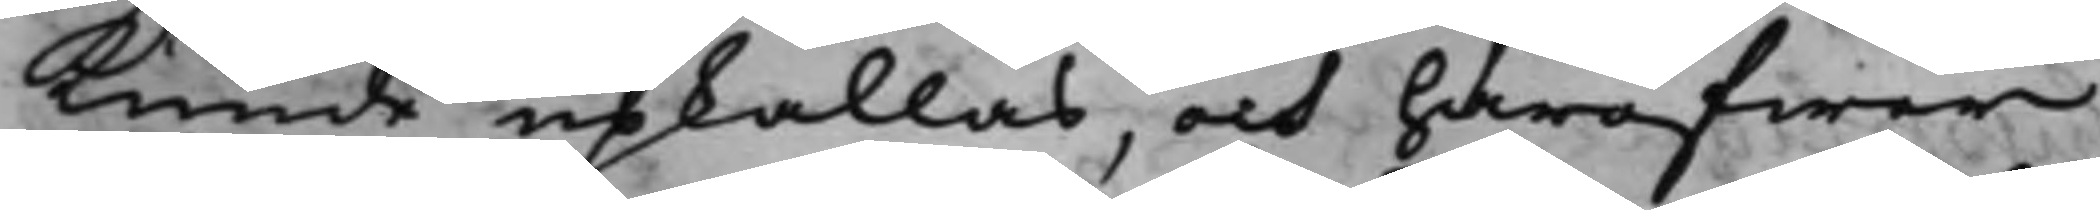kunde upkallas, och häröfwer
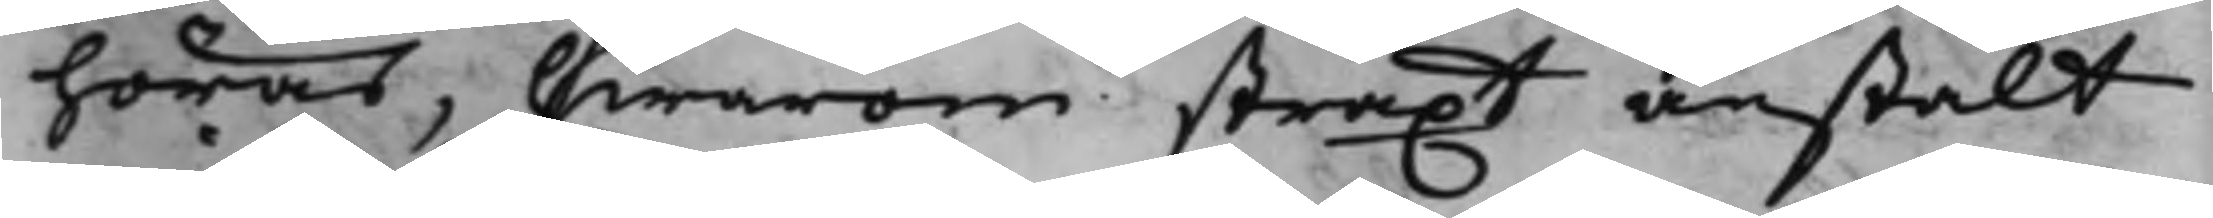höras, hwarom straxt anstalt
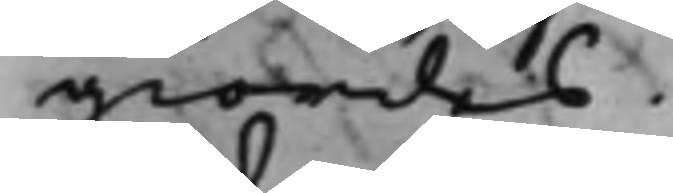giordes.
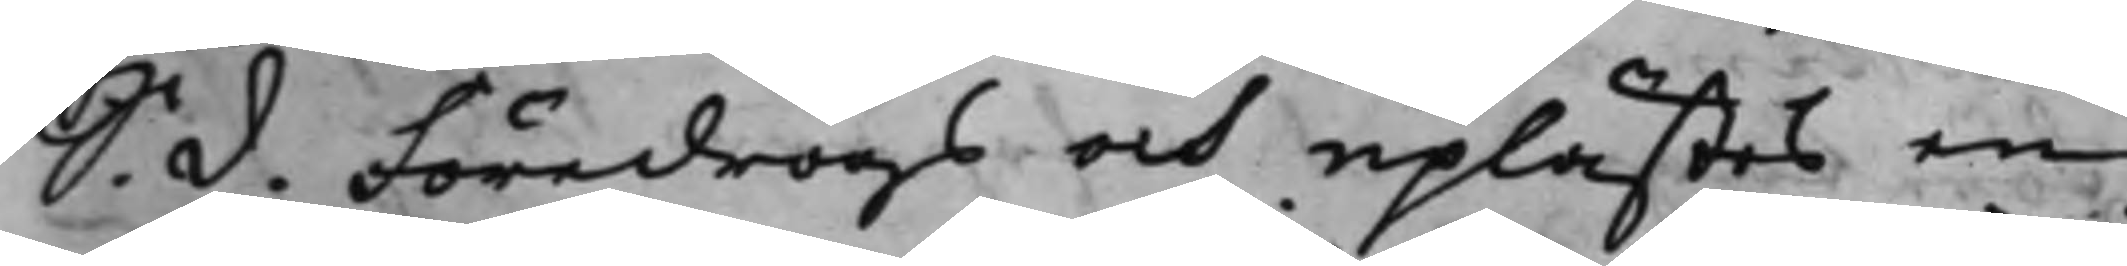S. d. Föredrogs och uplästes en
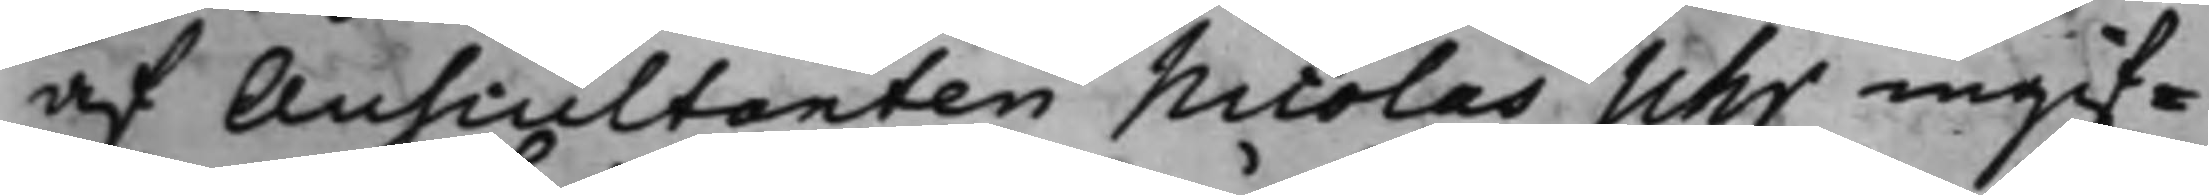af Auscultanten Nicolas Uhr ingif¬
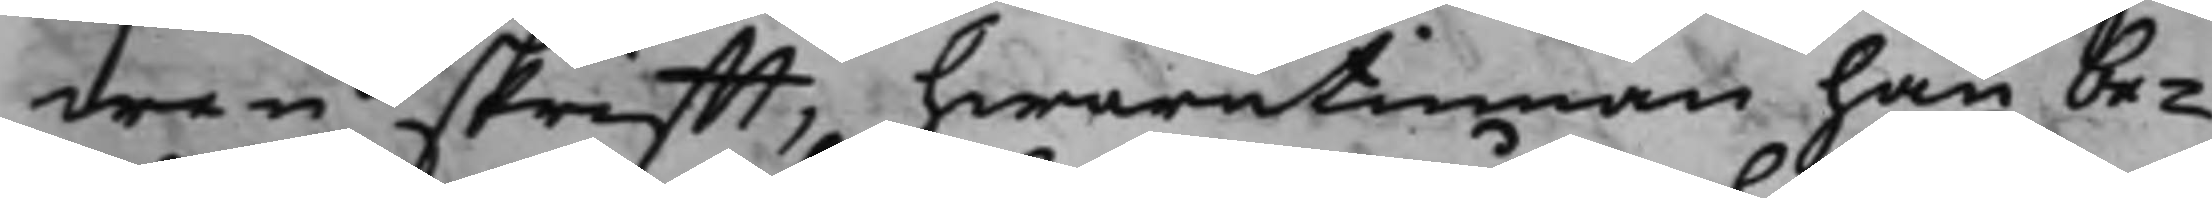wen skrifft, hwarutinnan han be¬
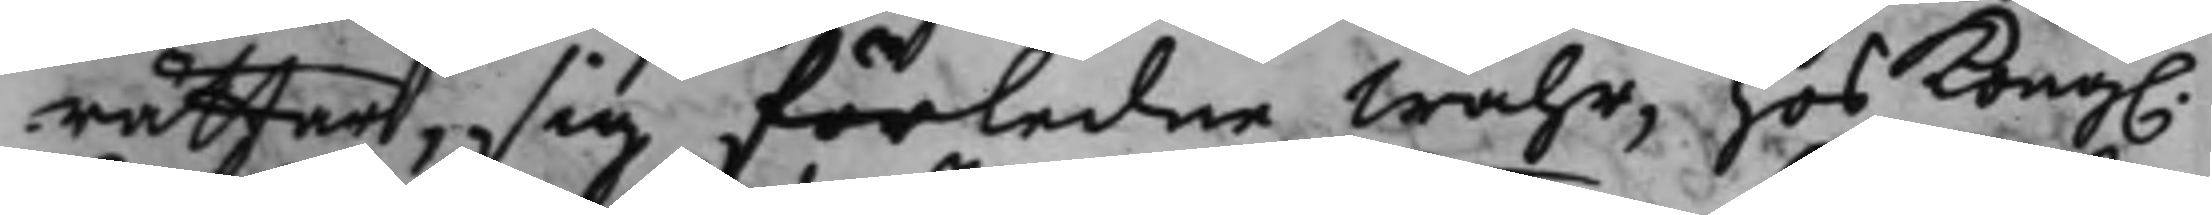rättar, sig förledne Wåhr, hos Kong.
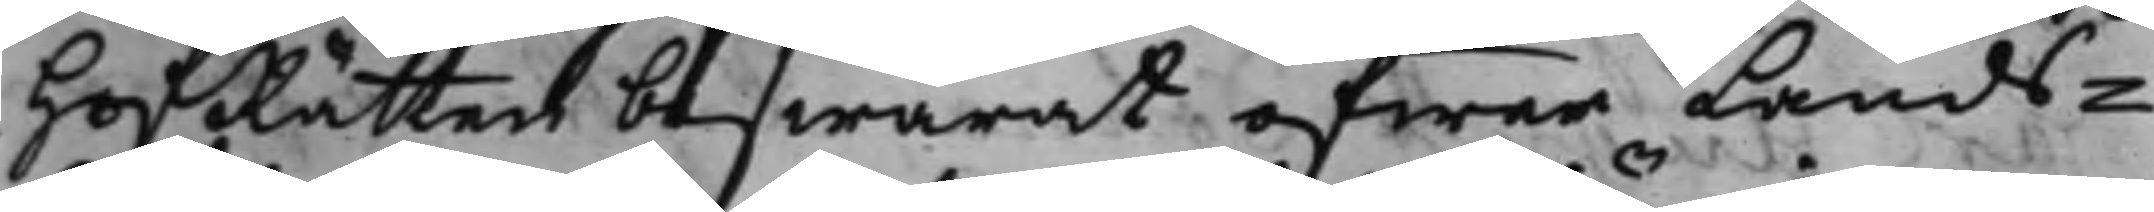HofRätten beswärat öfwer Lands¬
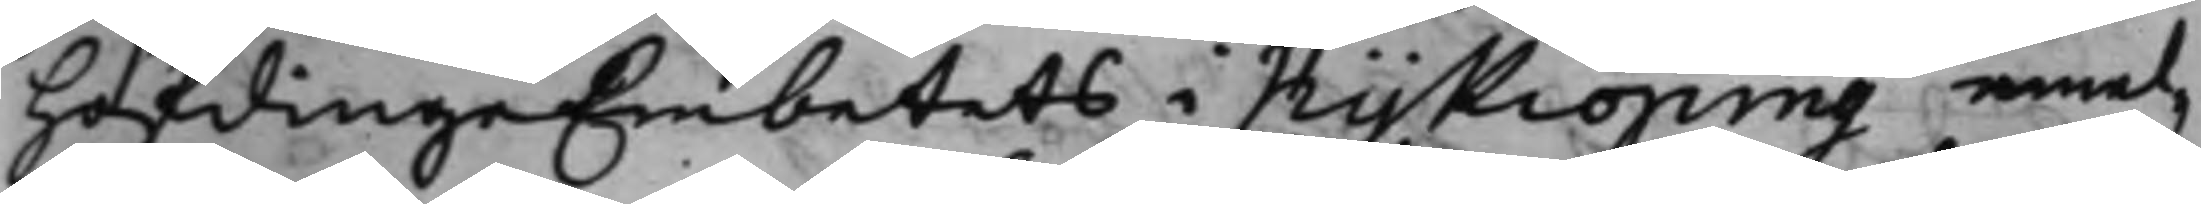höfdingeEmbetets i Nykiöping emel¬
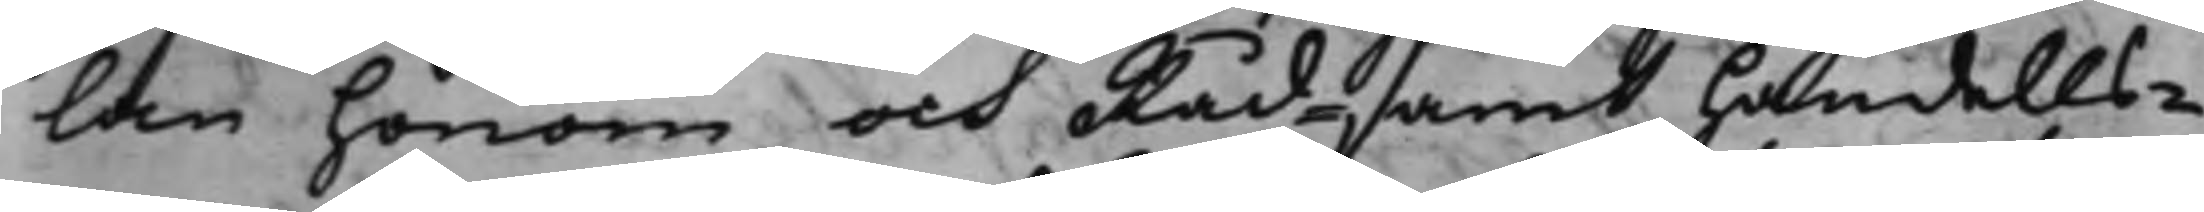lan honom och Råd- samt Handels¬
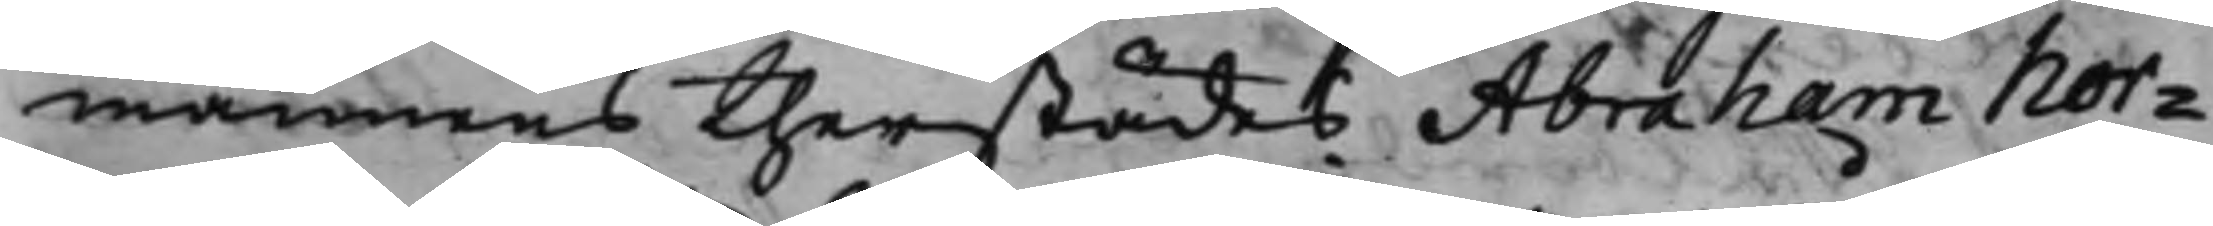mannens therstädes Abraham Nor¬
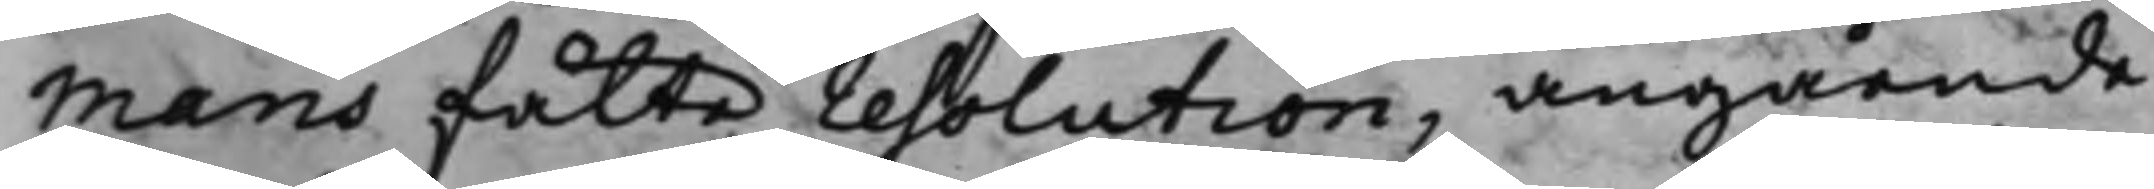mans fälte resolution, angående
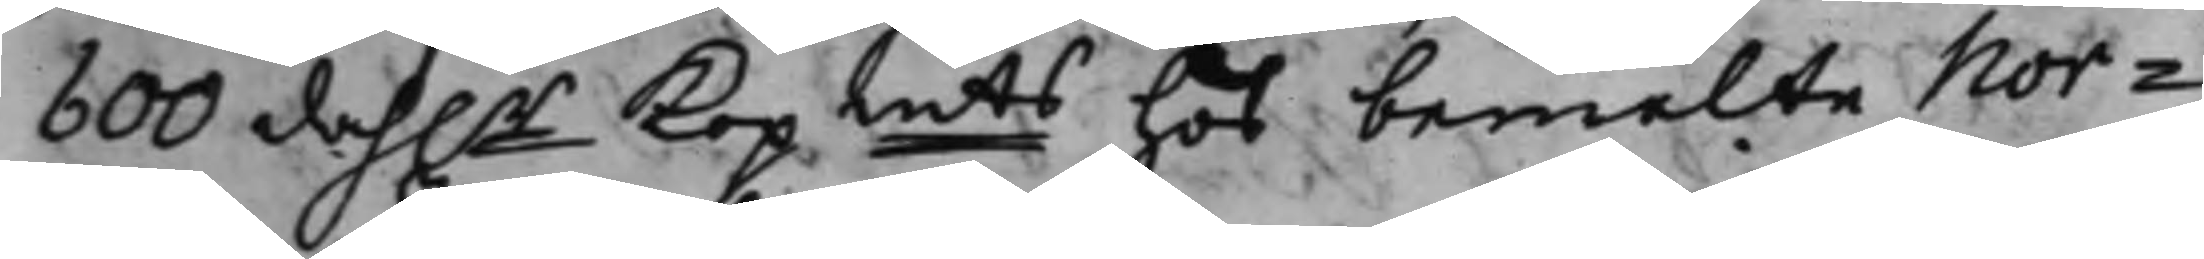600 dah.r Kopmts hos bemelte Nor¬
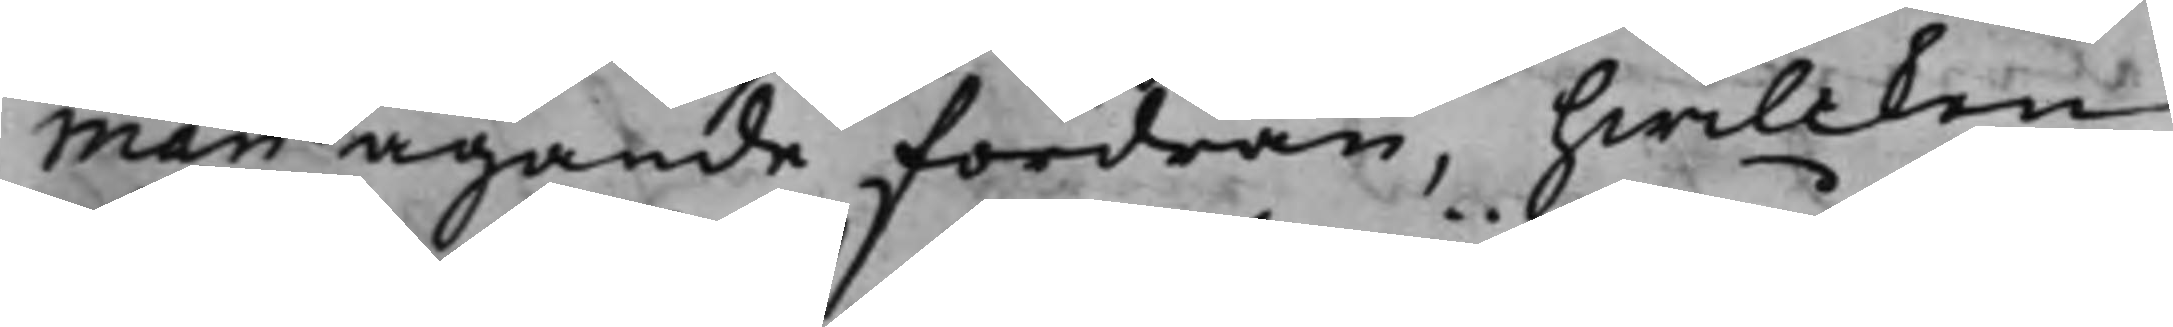man ägande fordran, hwilcken
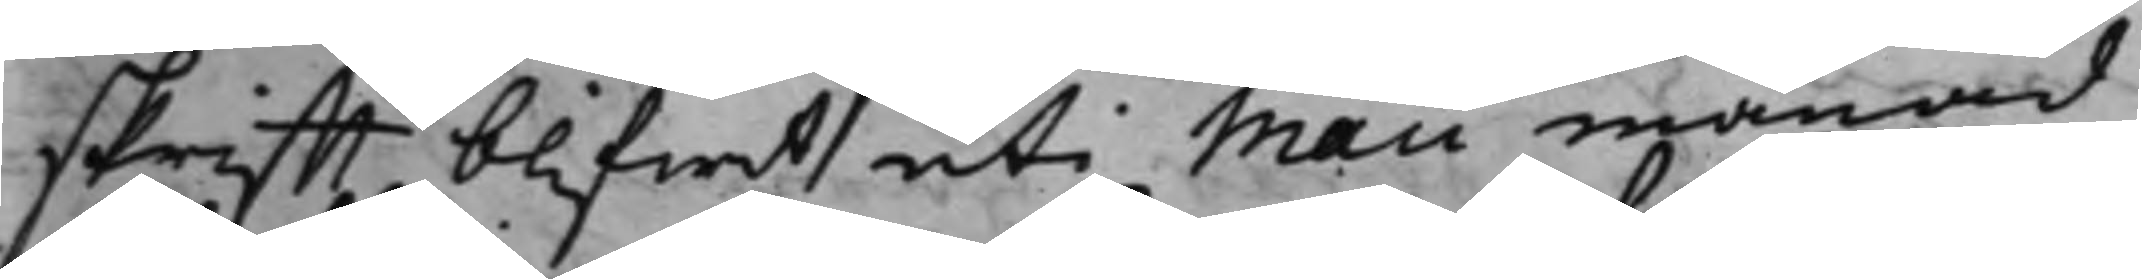skrifft blifwit uti Maii månad
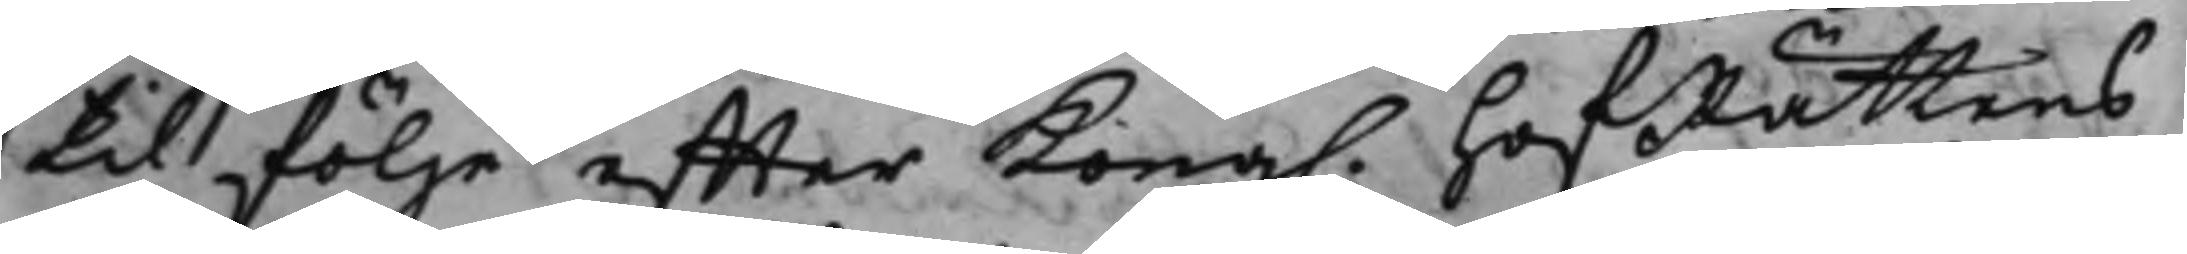til följe effter Kong. HofRättens
